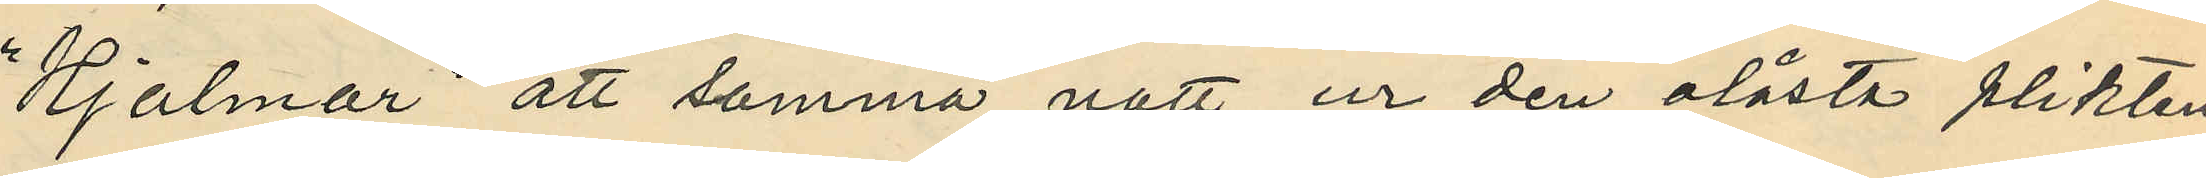"Hjalmar" att samma natt ur den olåsta plikten
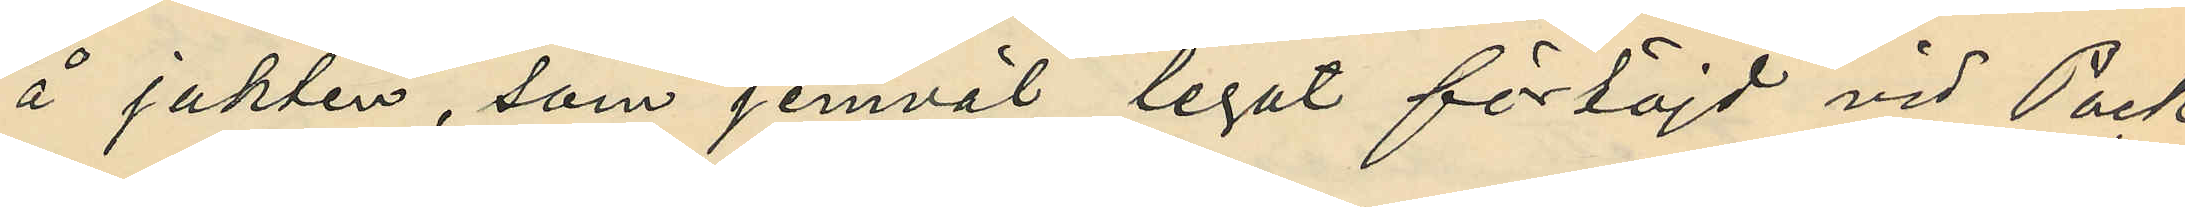å jakten, som jemväl legat förtöjd vid Pack¬
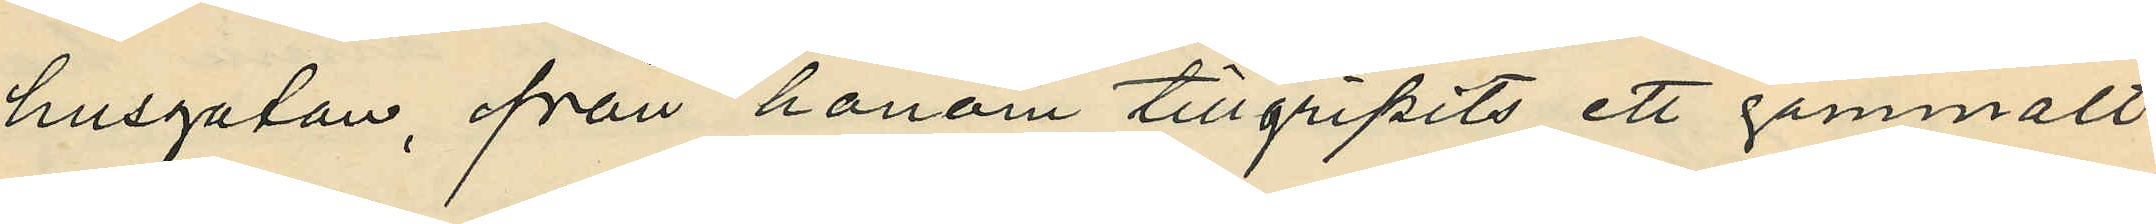husgatan, från honom tillgripits ett gammalt
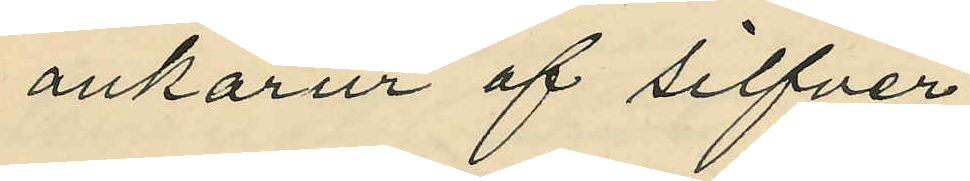ankarur af silfver
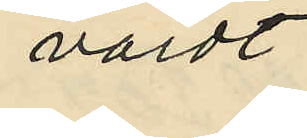värdt
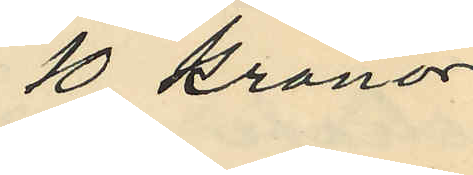10 kronor.
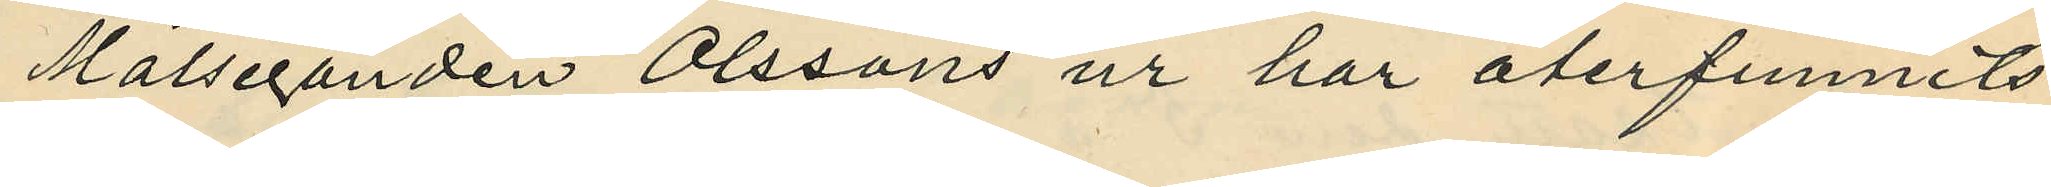Målseganden Olssons ur har återfunnits
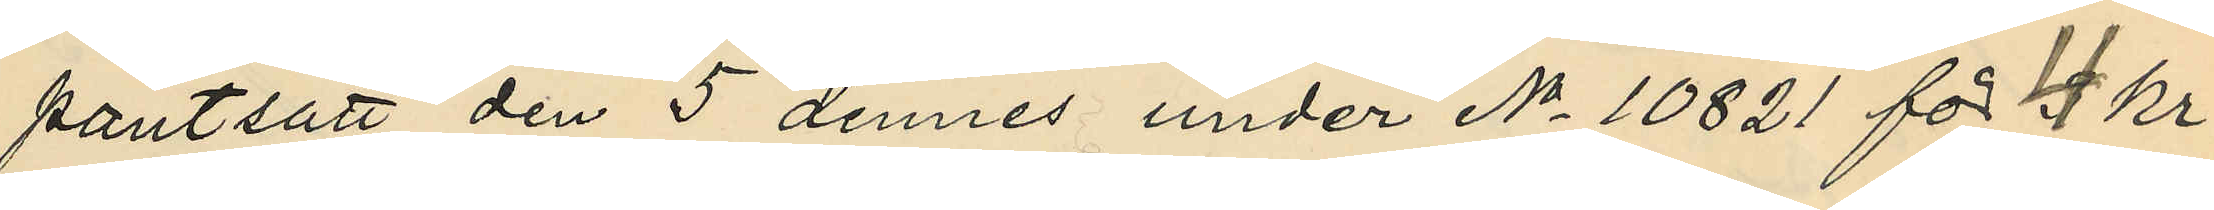pantsatt den 5 dennes under No 10821 för 4 kr.
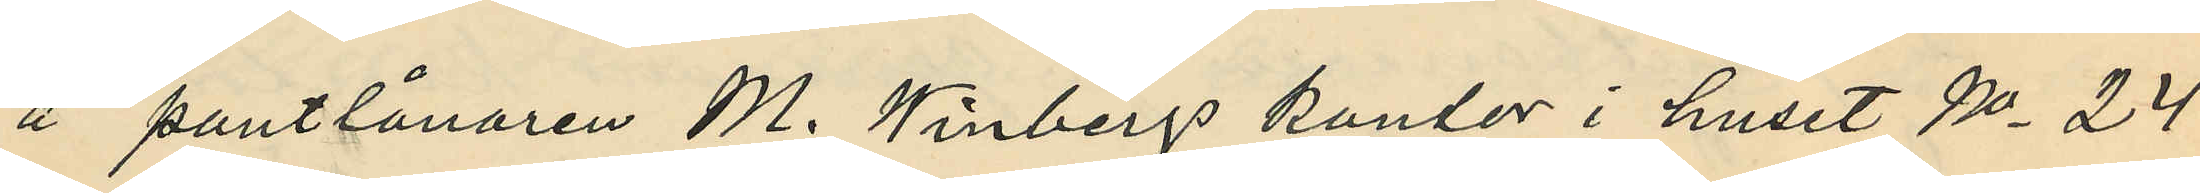å pantlånaren M. Winbergs kontor i huset No 24
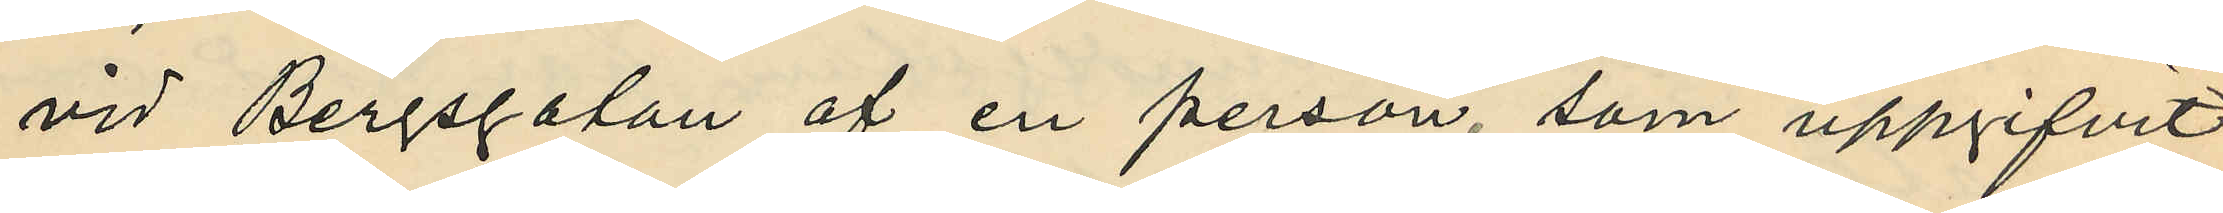vid Bergsgatan af en person, som uppgifvit
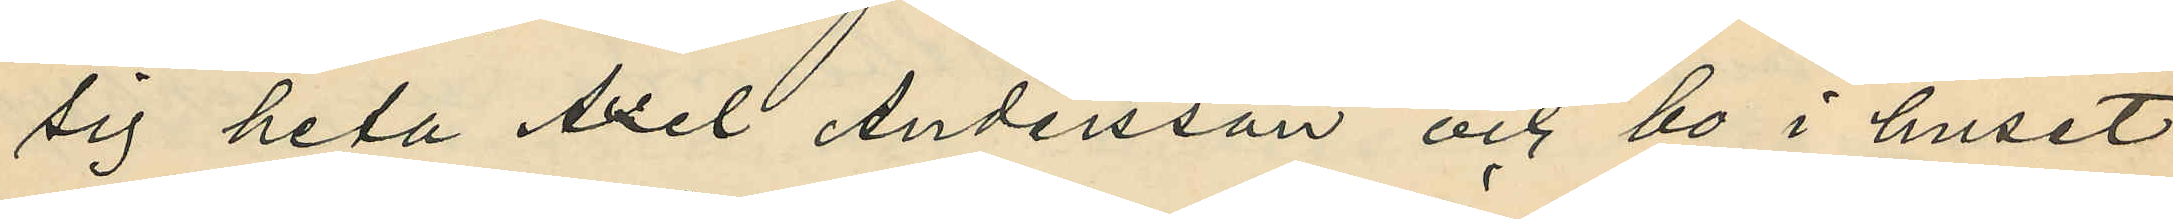sig heta Axel Andersson och bo i huset
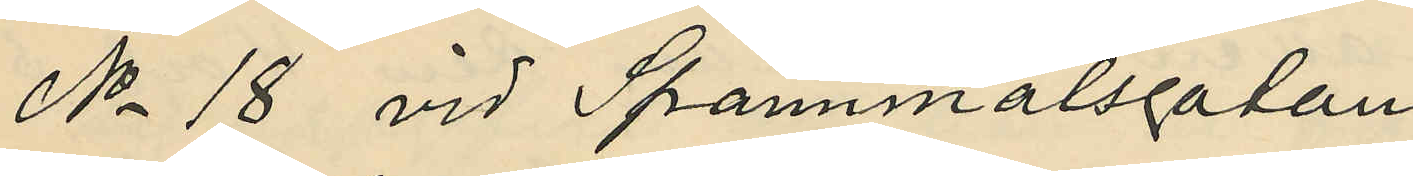No 18 vid Spannmålsgatan.
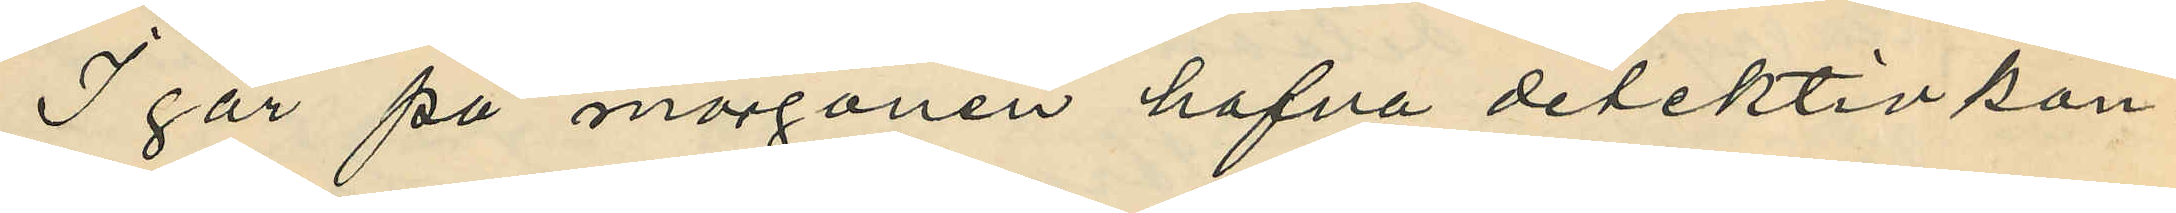I går på morgonen hafva detektivkon¬
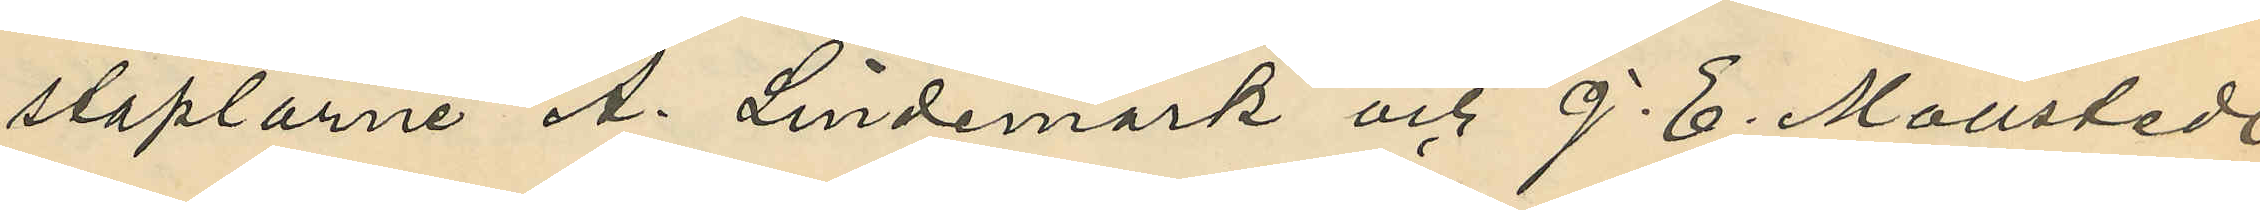staplarne A. Lindemark och J. E. Mollstedt
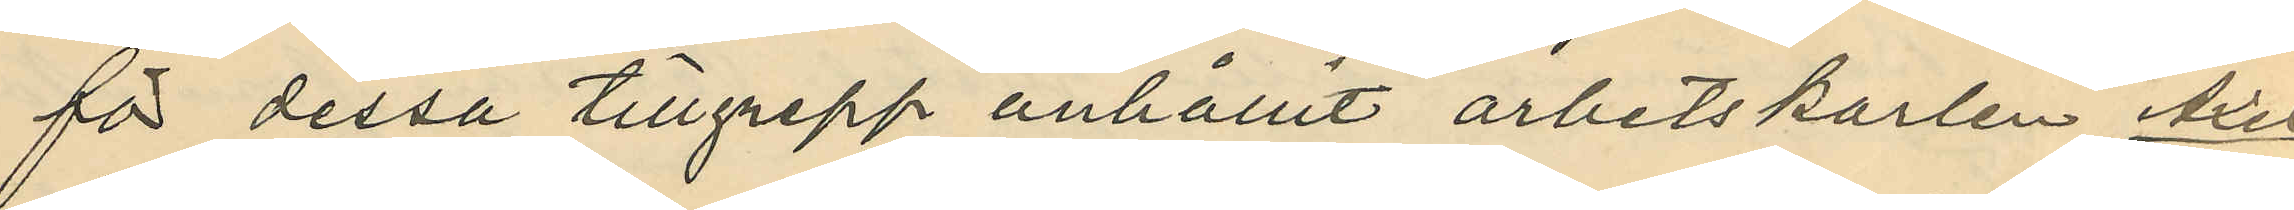för dessa tillgrepp anhållit arbetskarlen Axel
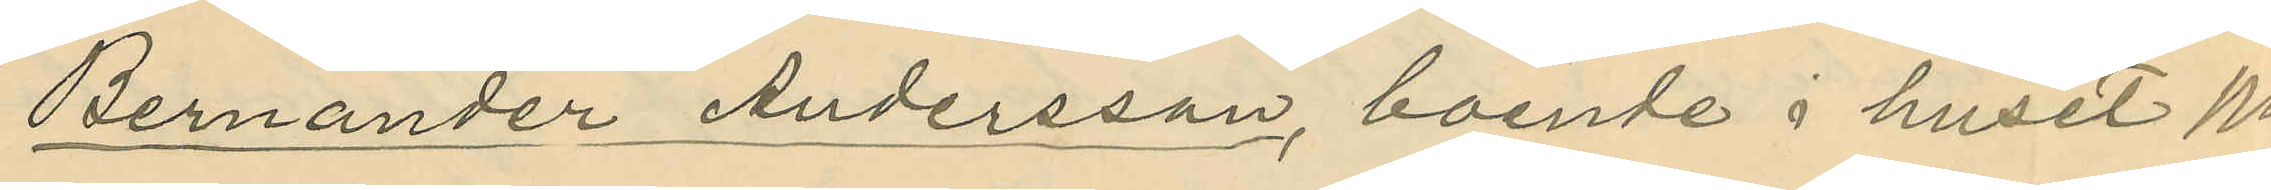Bernander Andersson, boende i huset No
